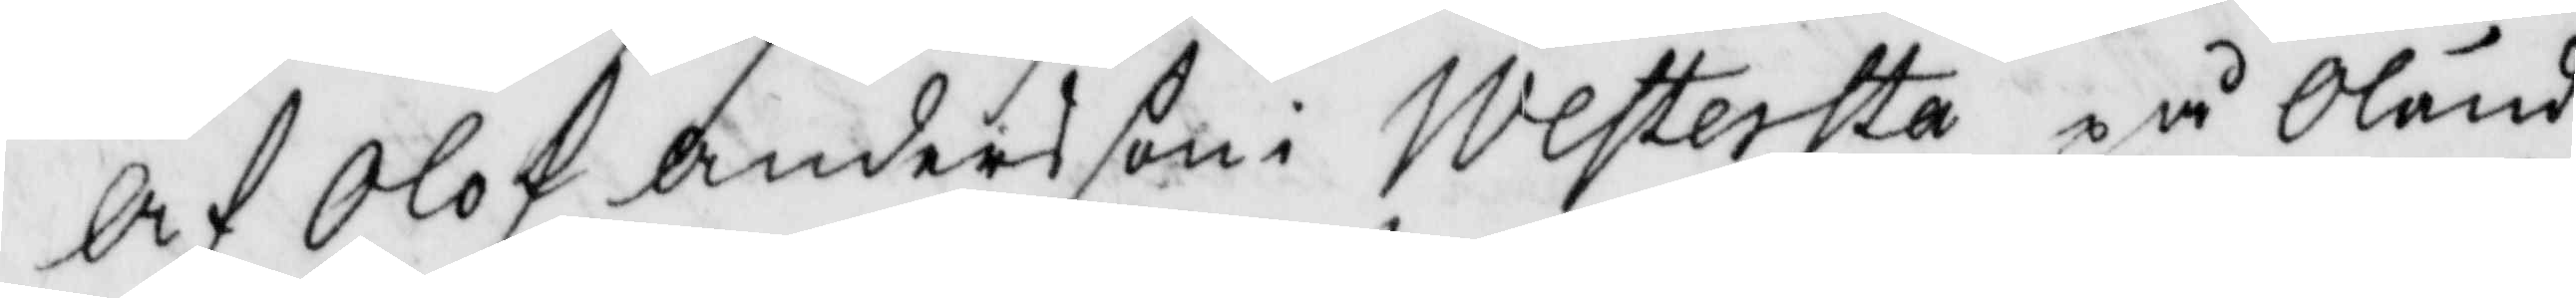Af Olof Andersson i Westersta på Öland
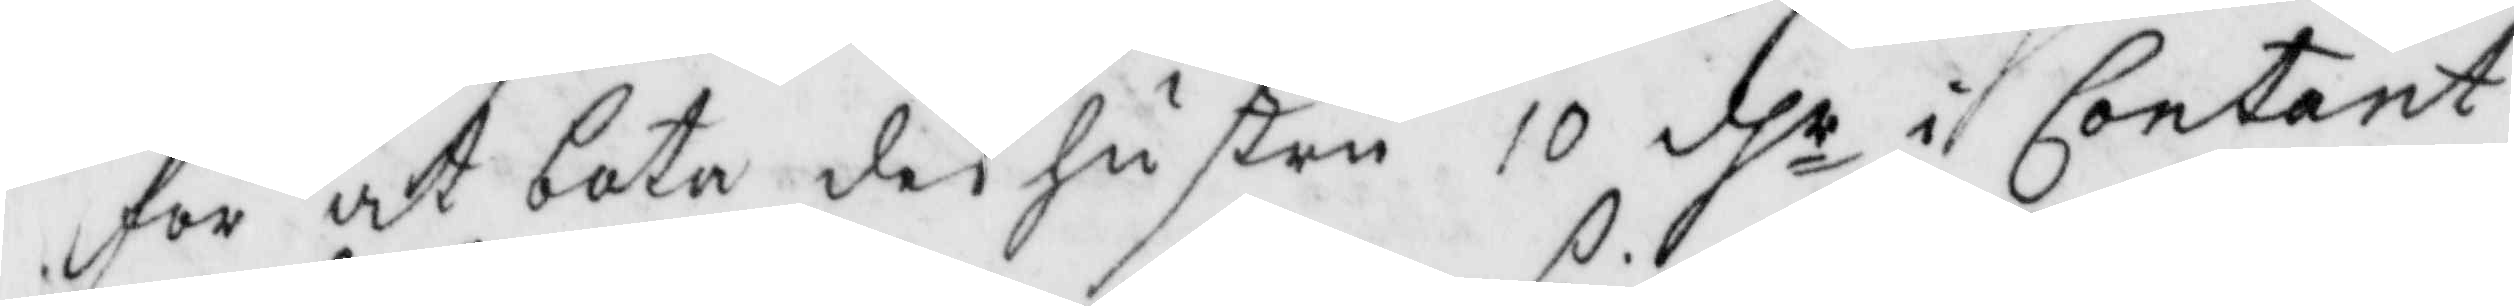för at bota des hustru 10 dhr i Contant
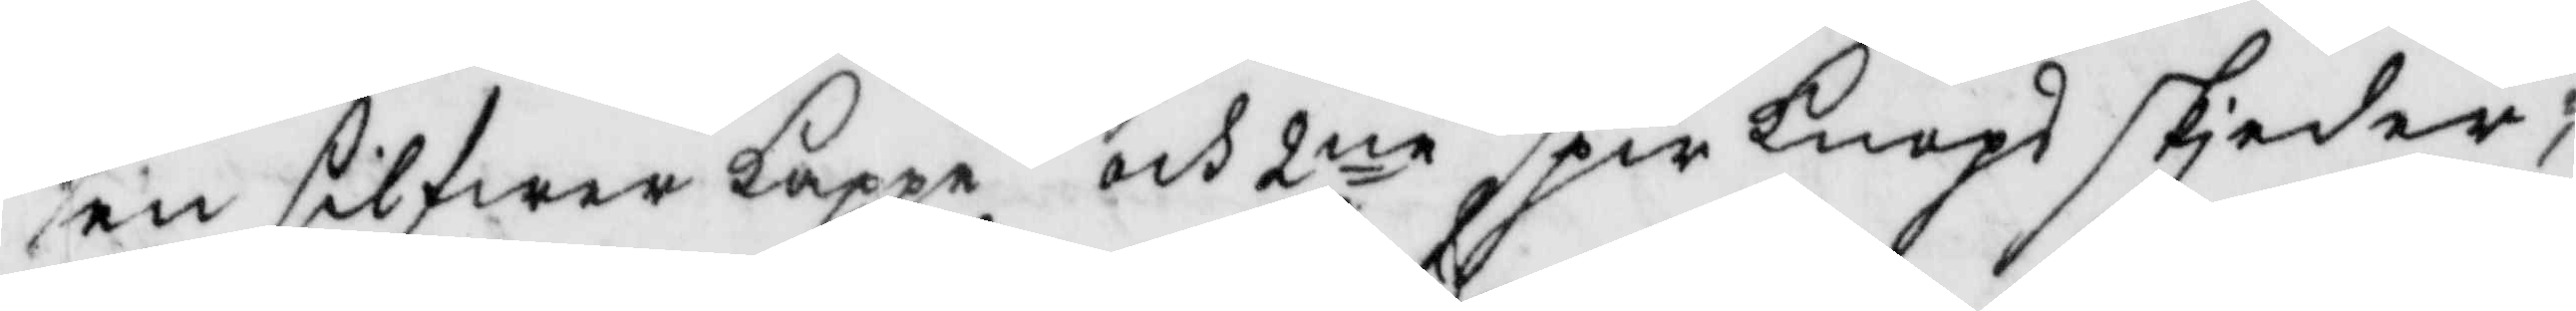en silfwerkappe och 2ne spirknopsskjedar;
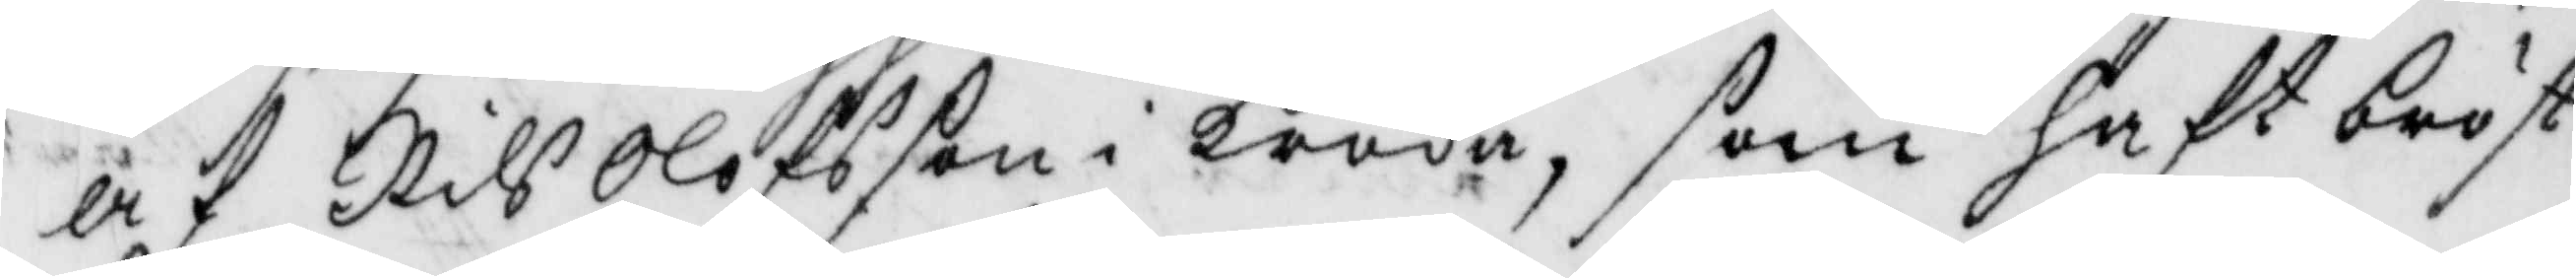af Nils Olofsson i kroka, som haft bröst¬
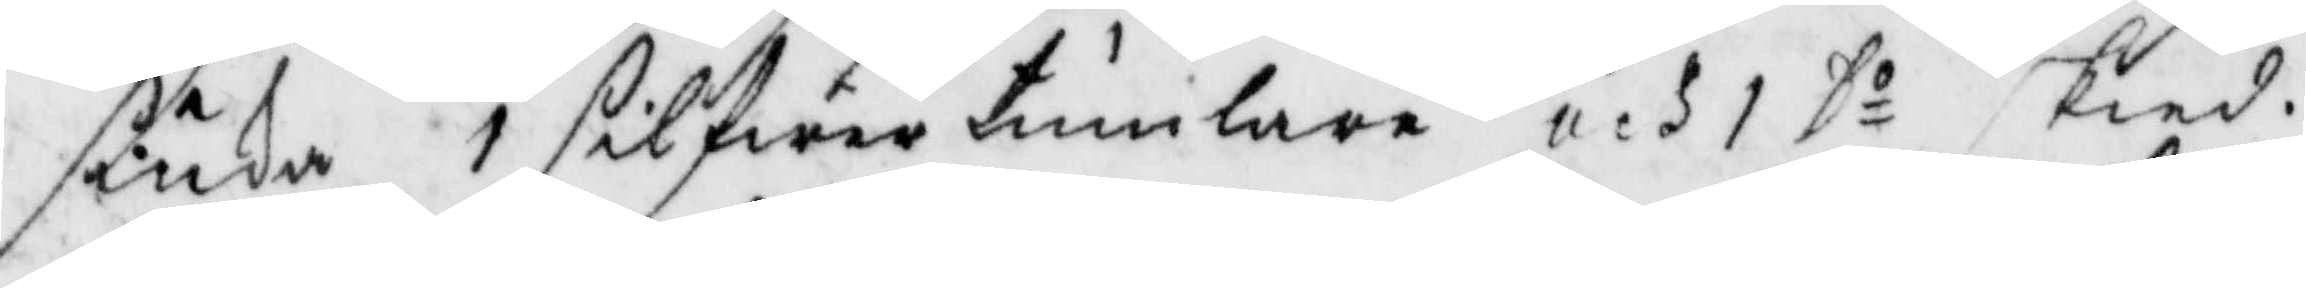siuka 1 silfwertumlare och 1 Do skied.
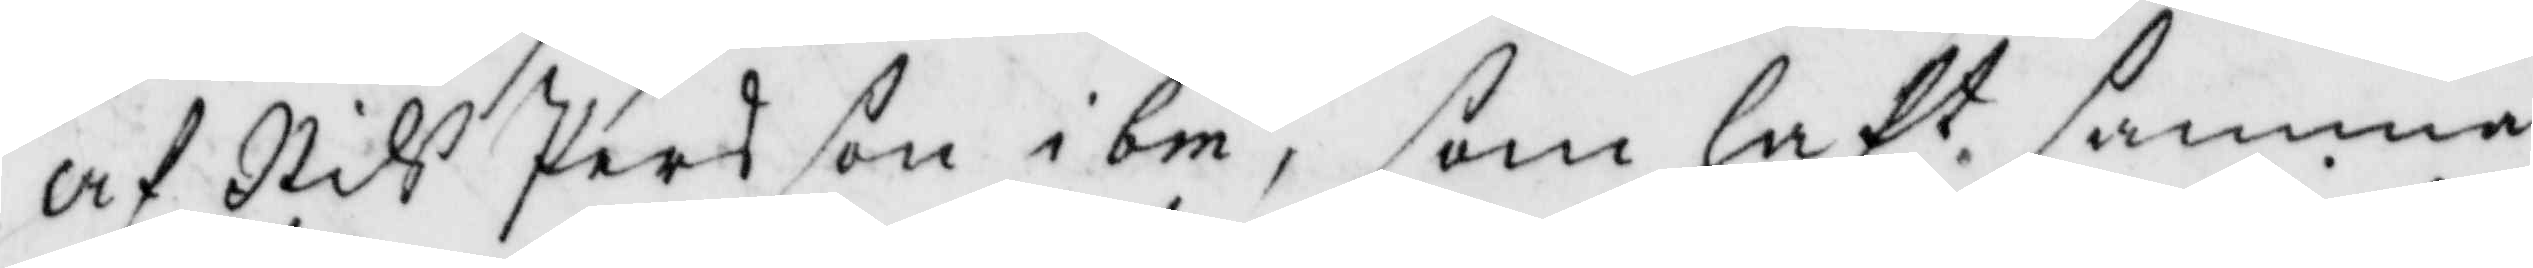Af Nils Persson ibm, som haft samma
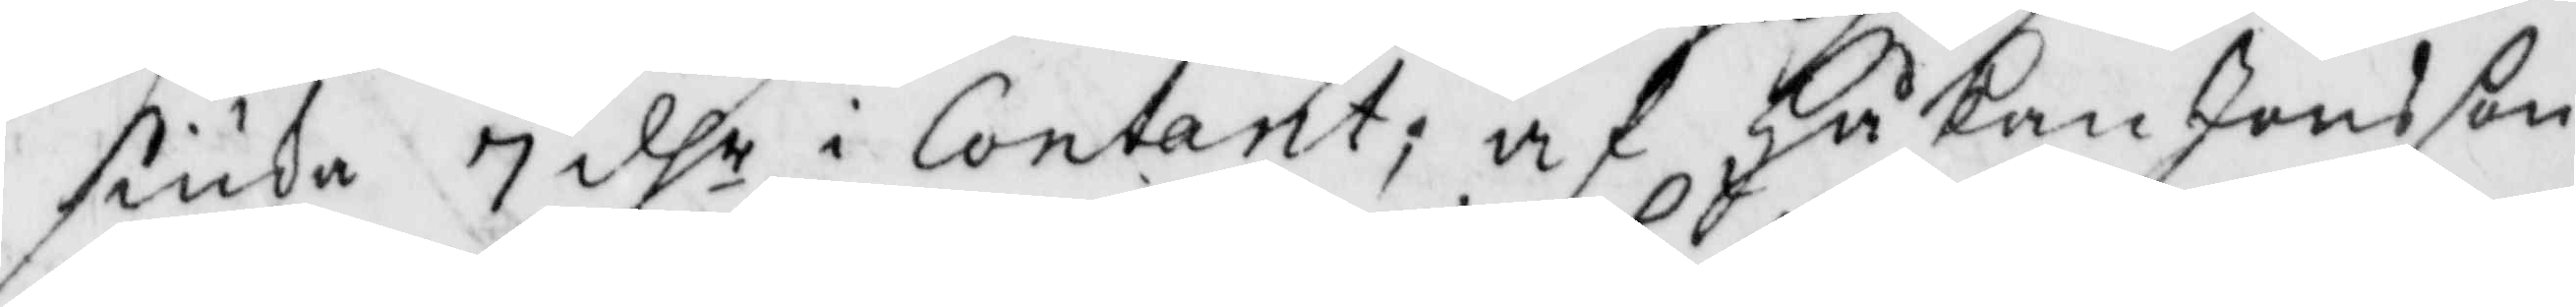siuka 7 dhr i Contant; af Håkan Jonsson
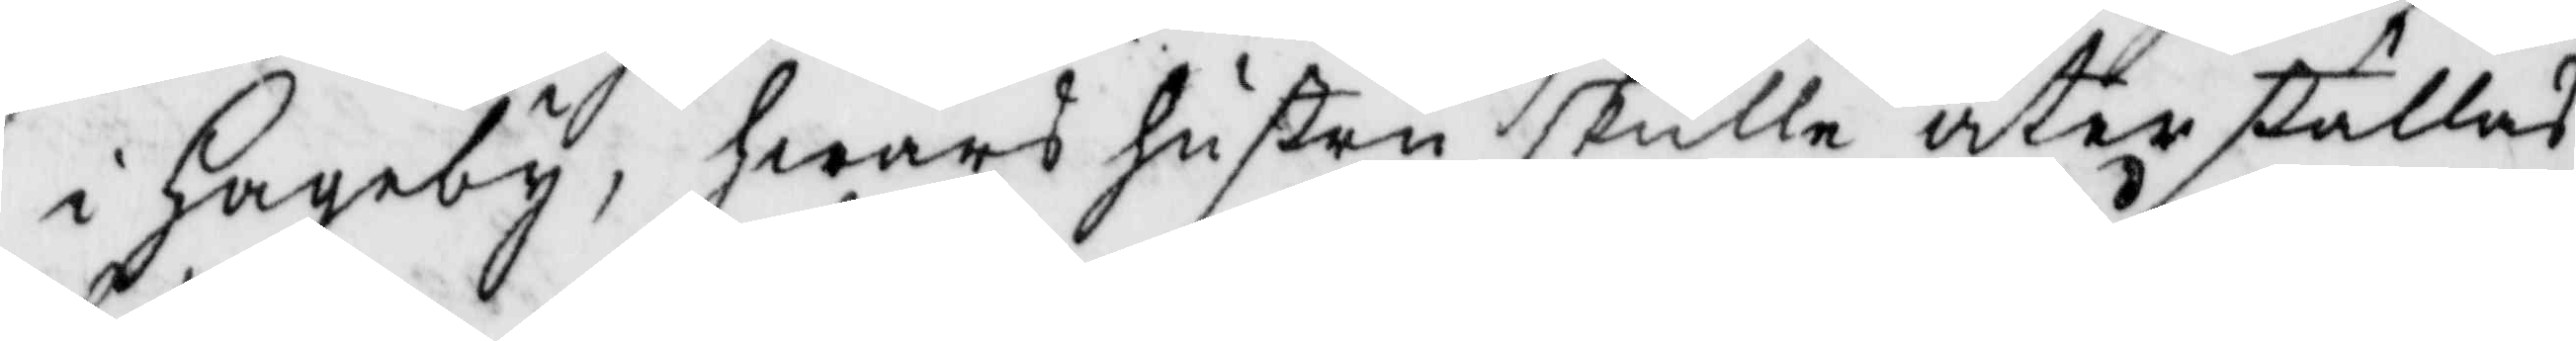i Hageby, hwars hustru skulle återställas
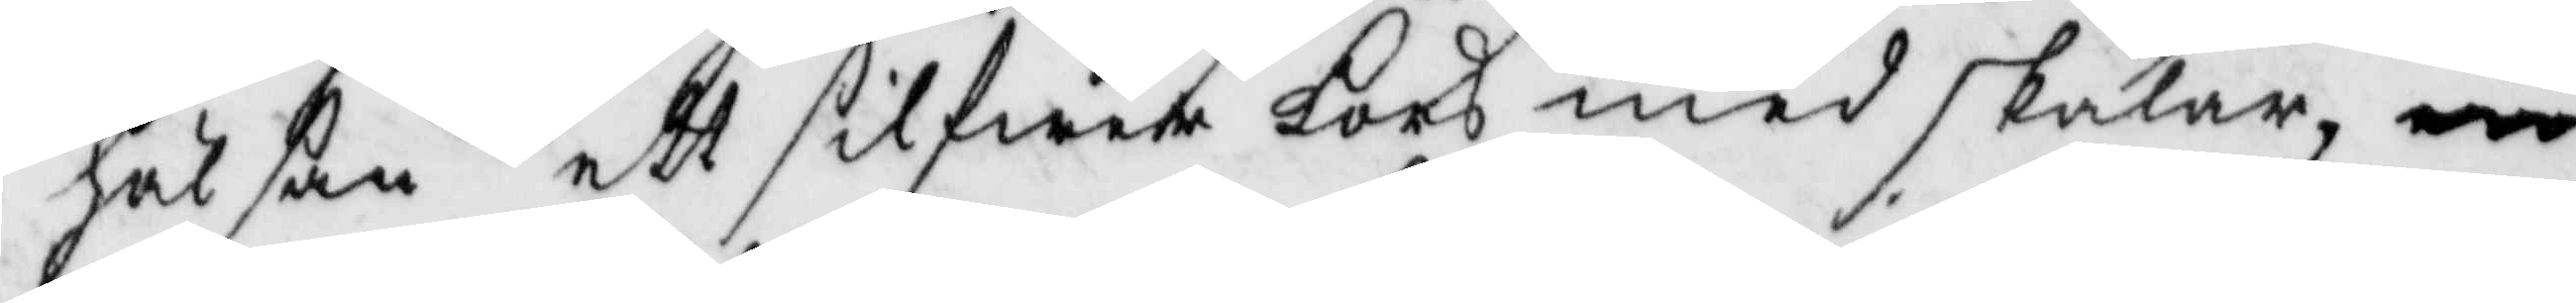hälsan ett silfwerkors med skålar
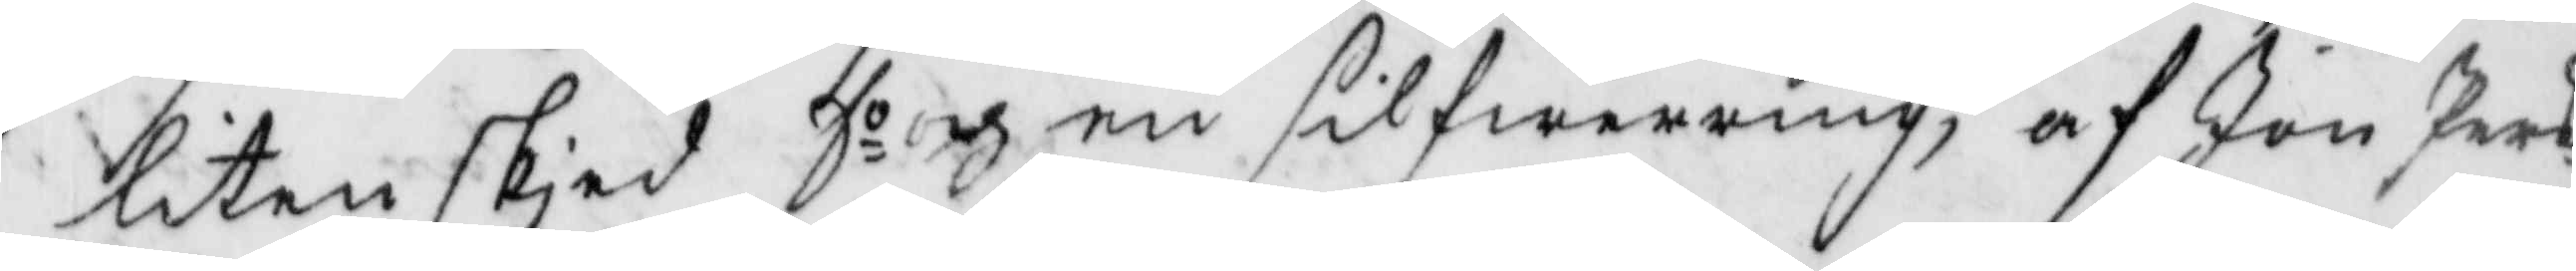liten skied Do en silfwerring, af Jon Pers¬
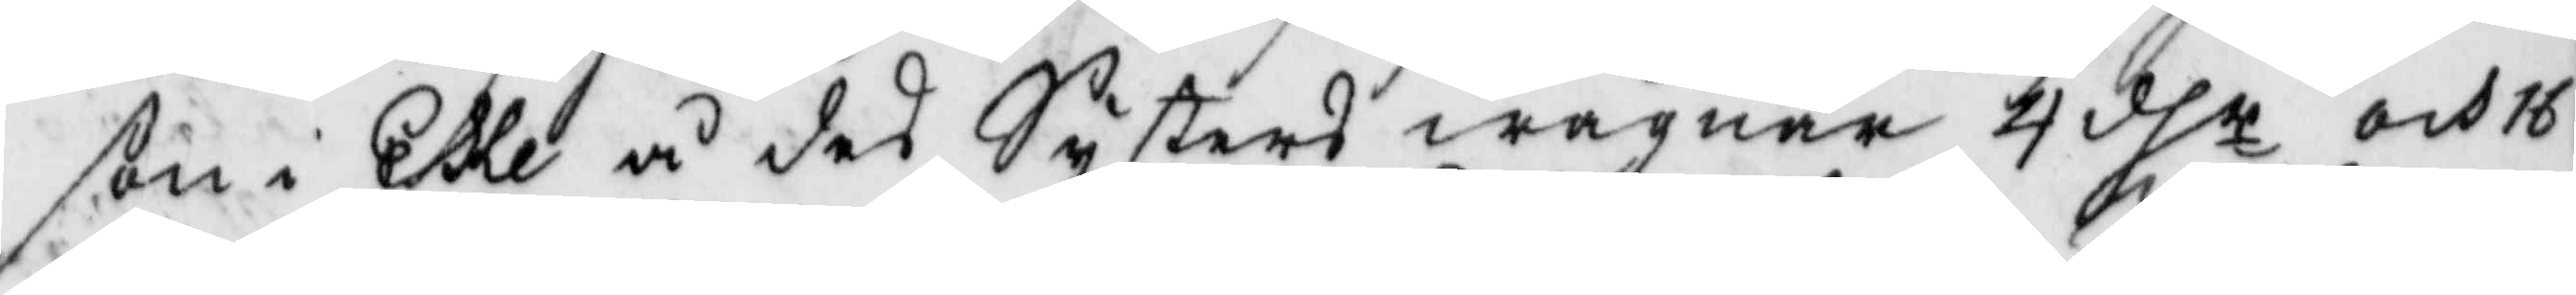son i Eke å des Systers wägnar 4 dhr och 16
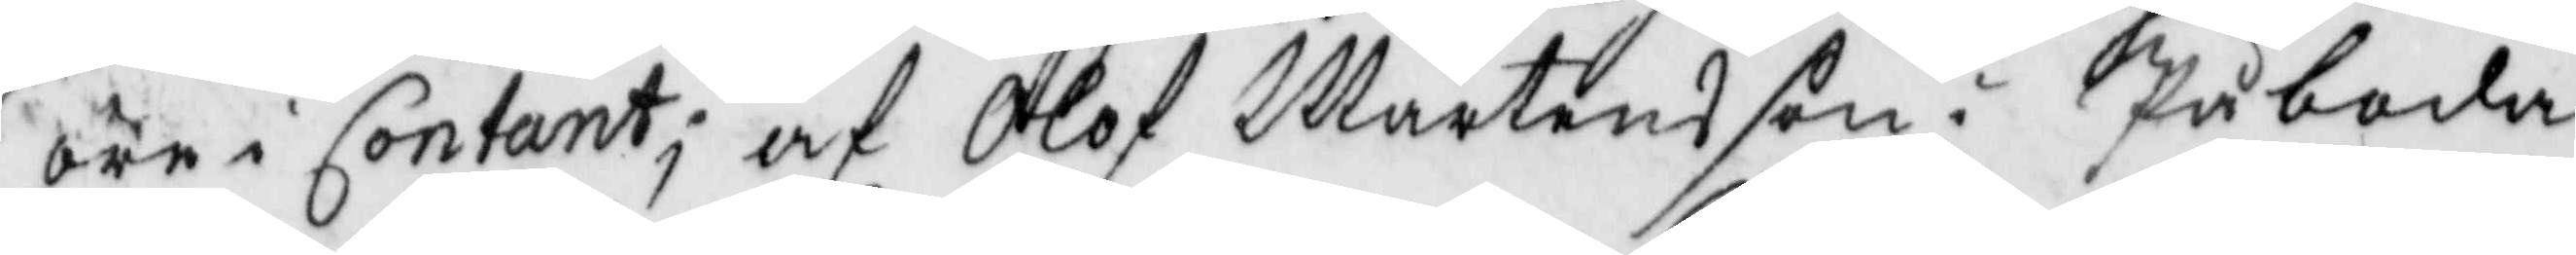öre i Contant; af Olof Mårtensson i Påboda
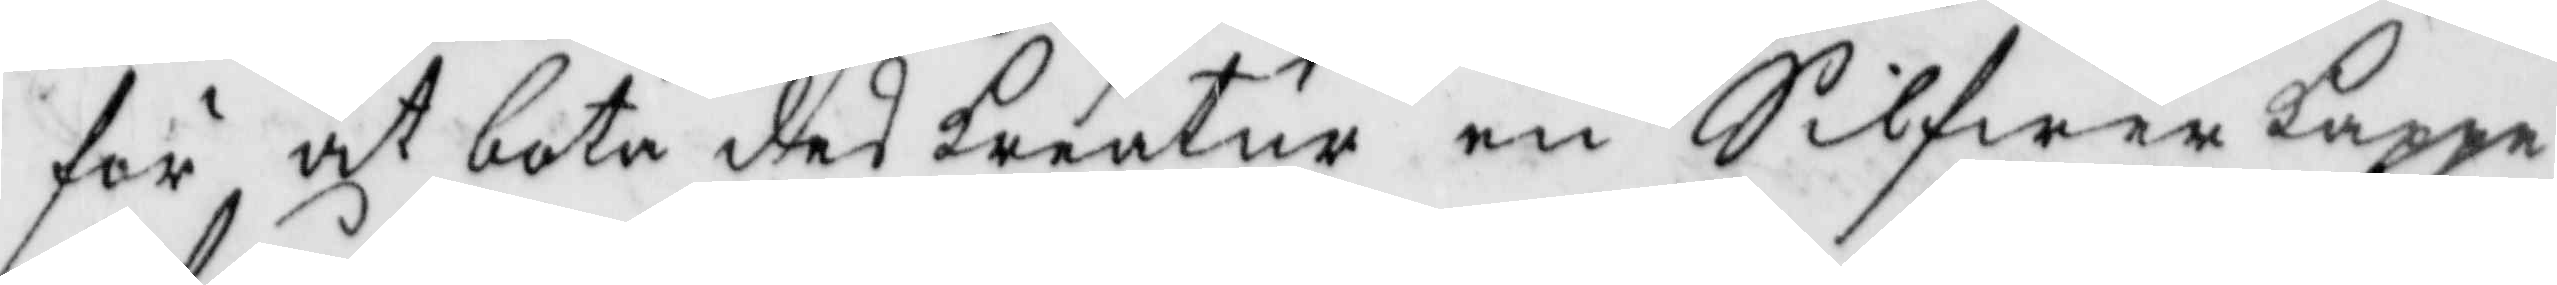för at bota des kreatur en Silfwer kappe
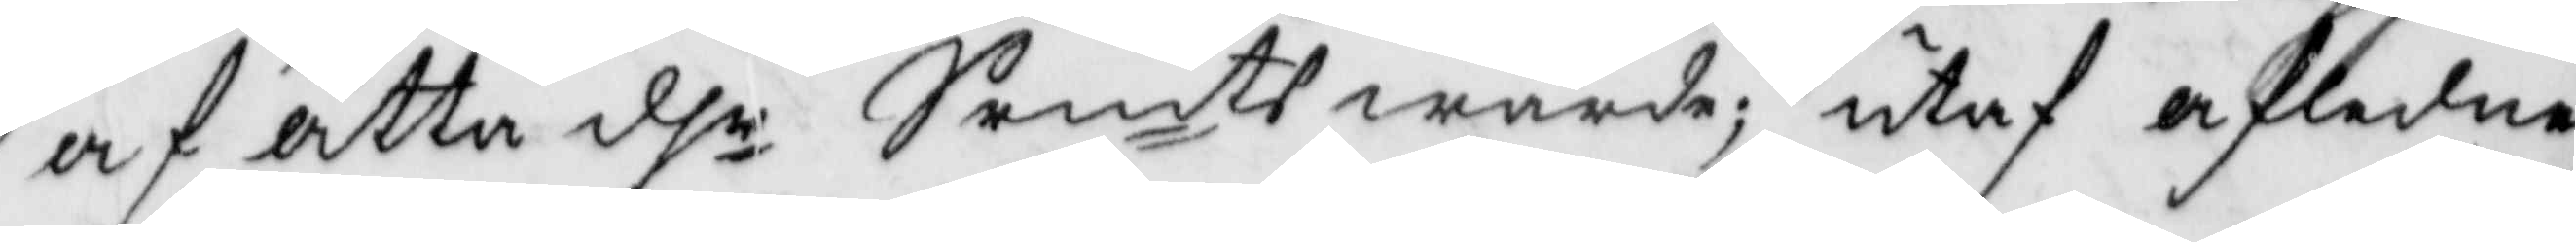af åtta dhr Srmt wärde; utaf afledne
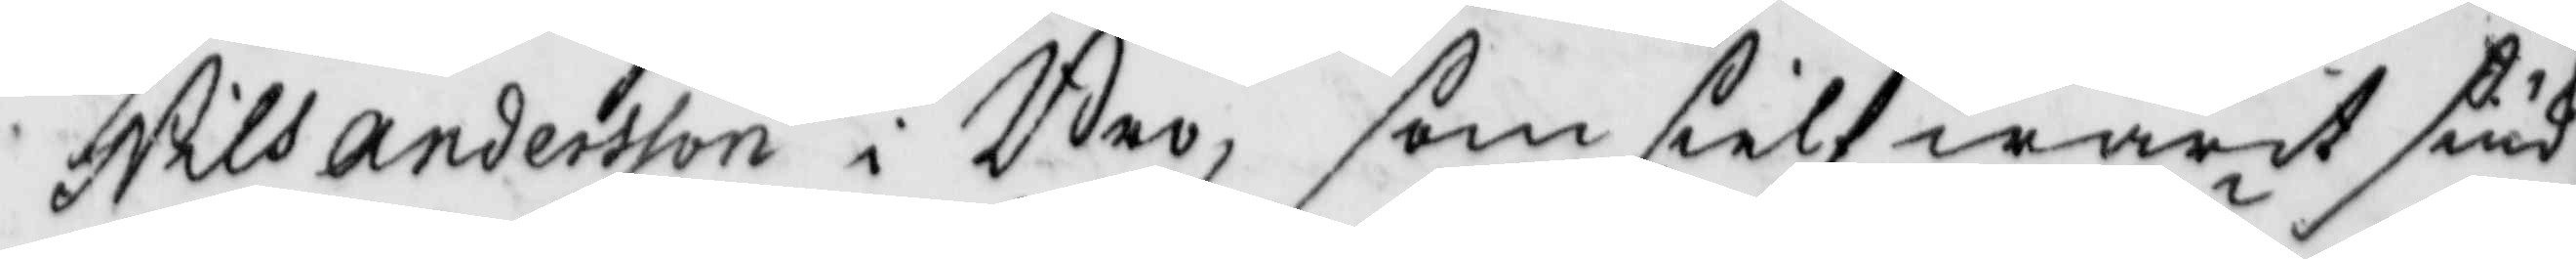Nils Andersson i Bro, som sielf warit siuk
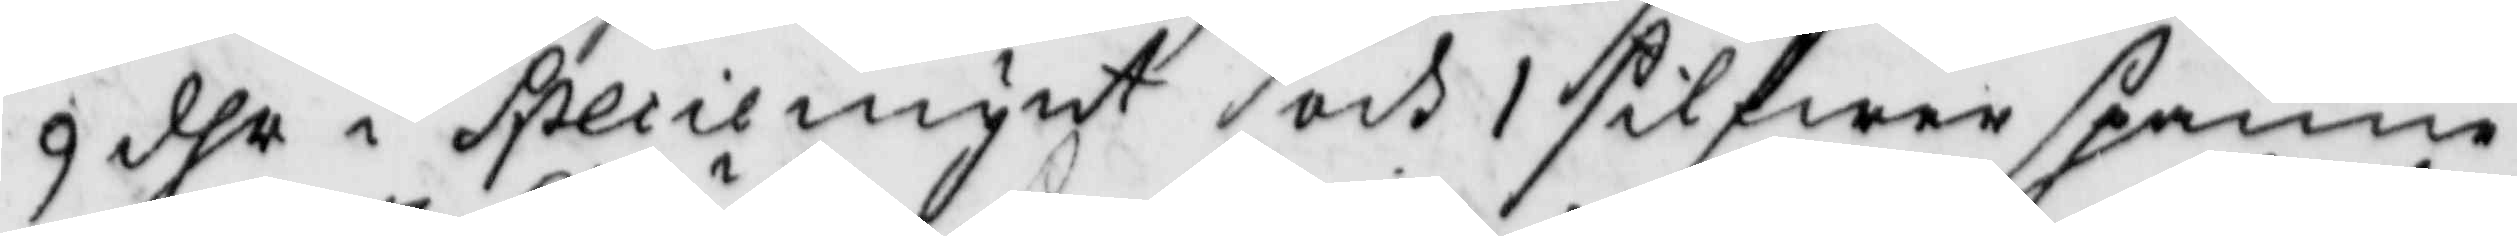9 dhr i Speciemynt och 1 silfwerspänne
